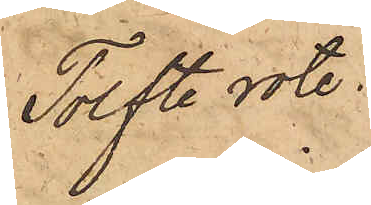Tolfte rote.
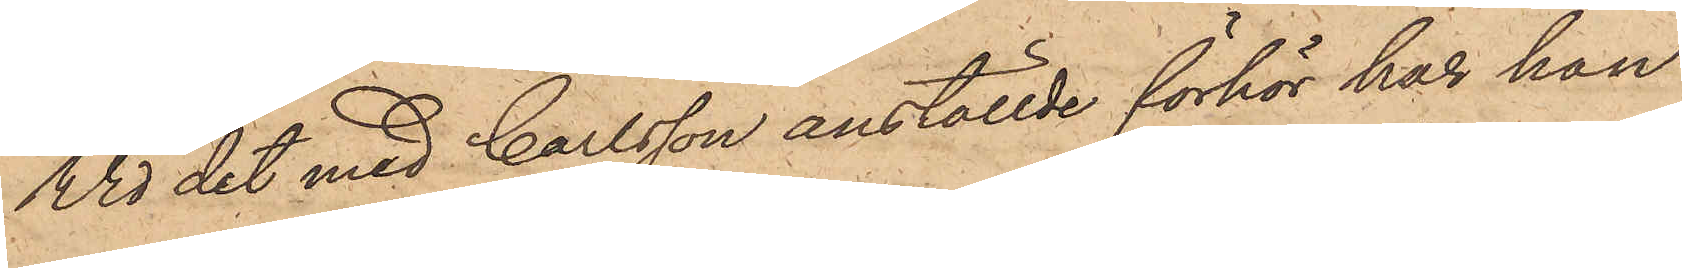Wid det med Carlsson anställde förhör har han
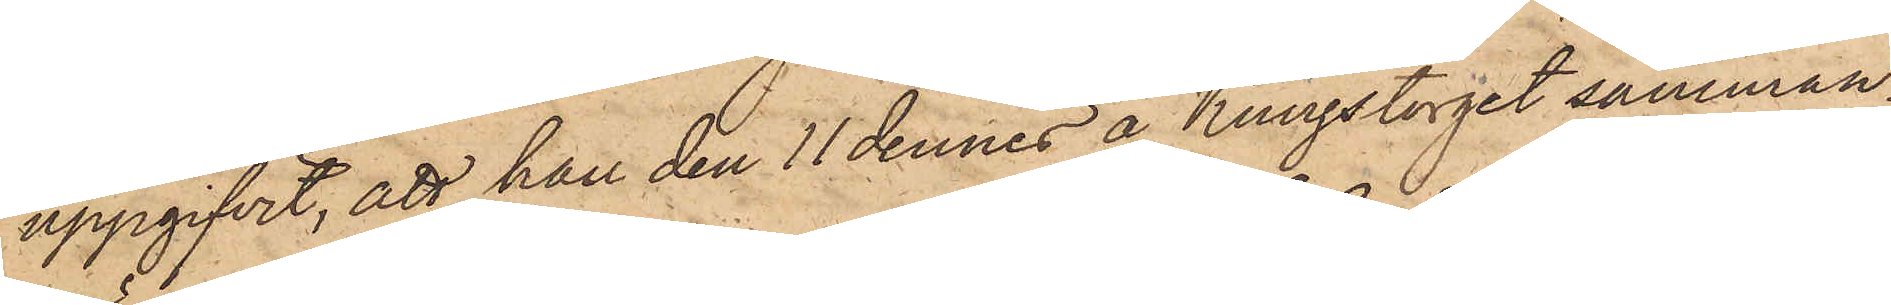uppgifvit, att han den 11 dennes å Kungstorget samman¬
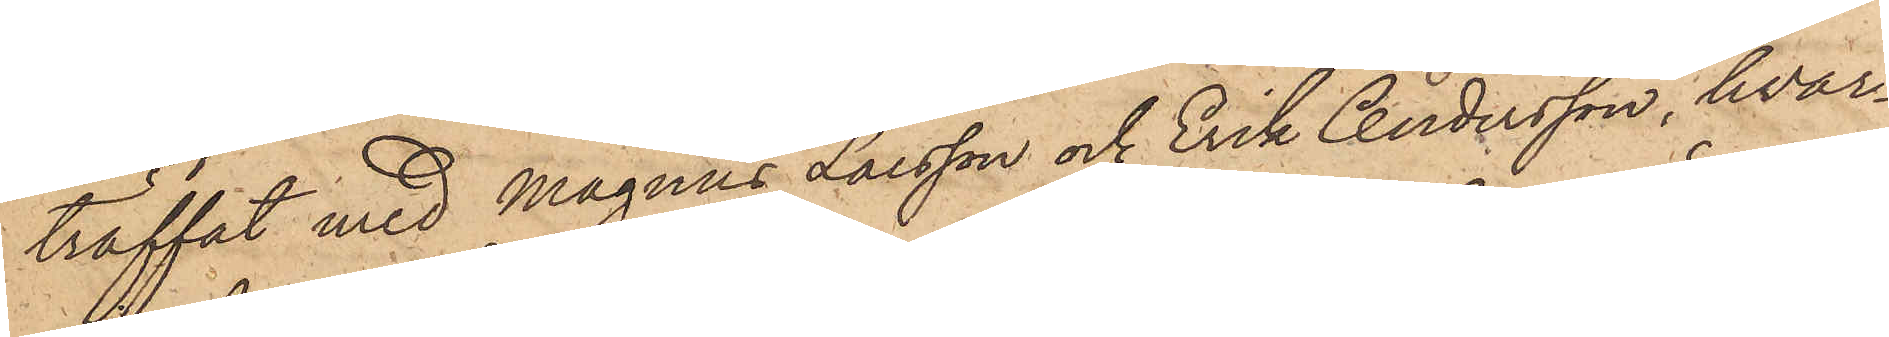träffat med Magnus Larsson och Erik Andersson, hvar¬
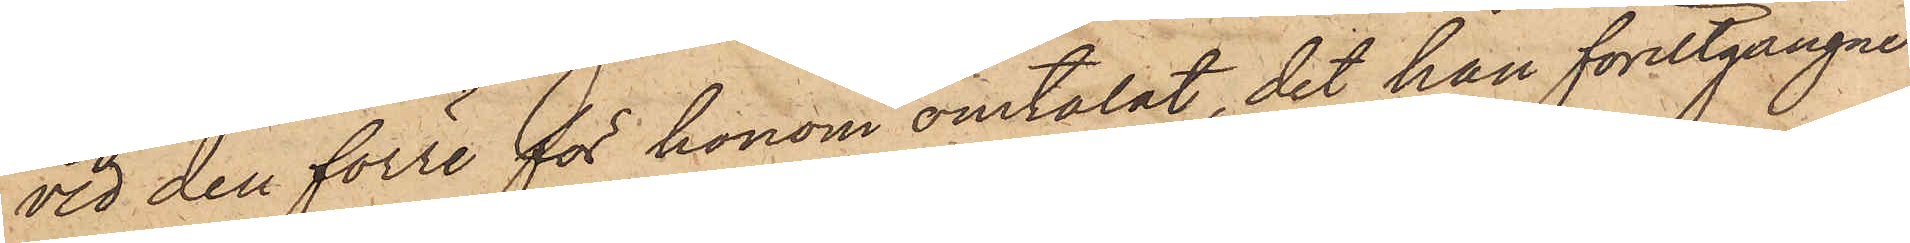vid den förre för honom omtalat, det han förutgångne
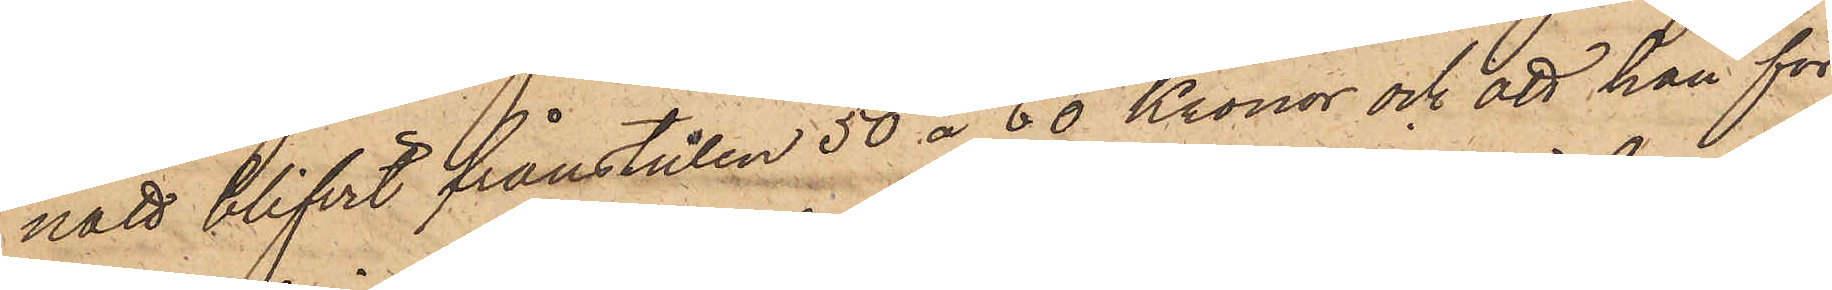natt blifvit frånstulen 50 à 60 Kronor och att han för
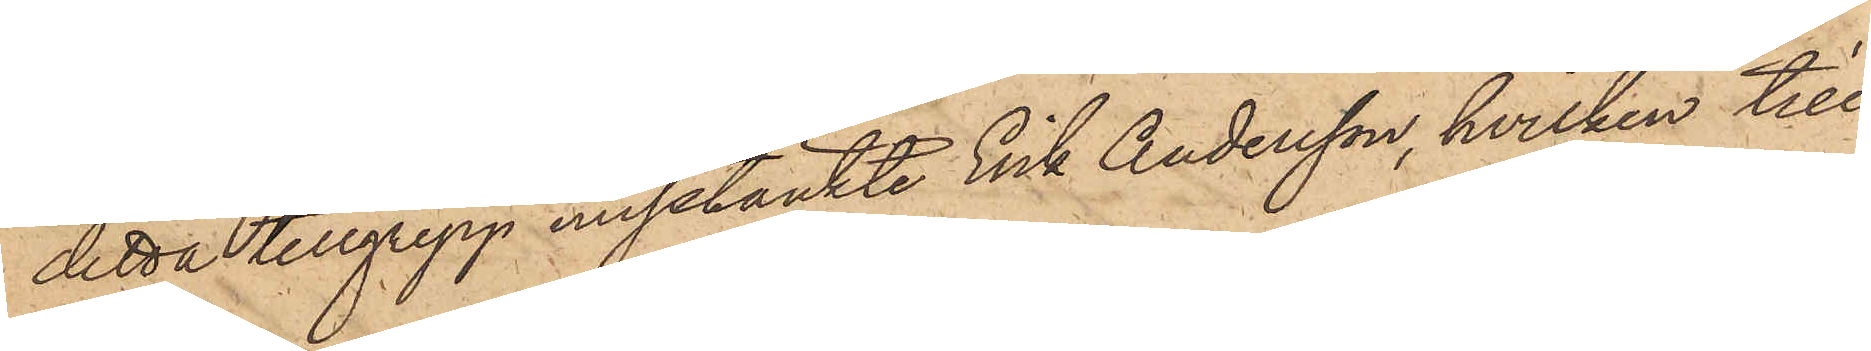detta tillgrepp misstänkte Erik Andersson, hvilken till¬
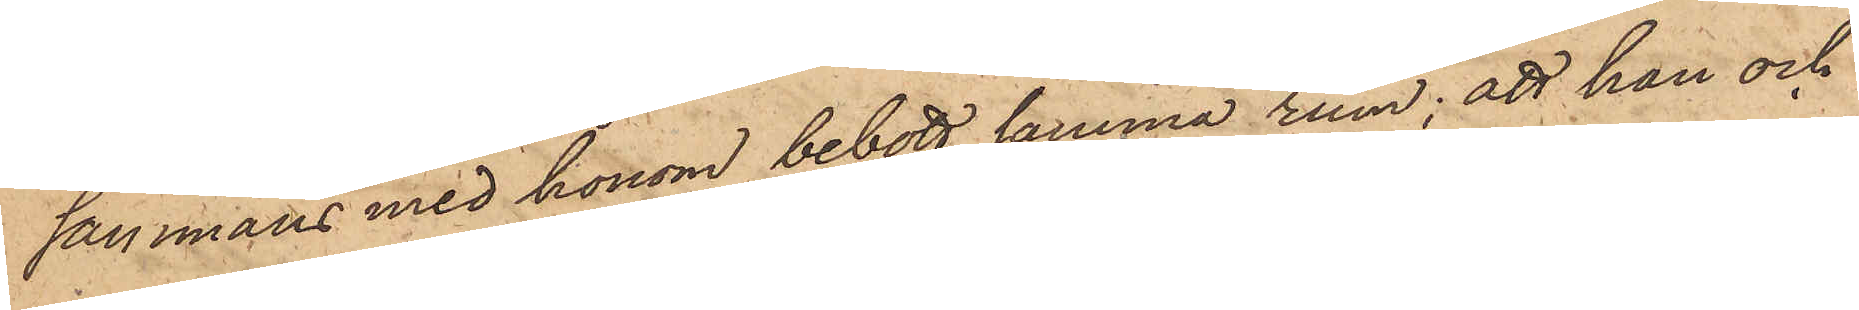sammans med honom bebott samma rum; att han och
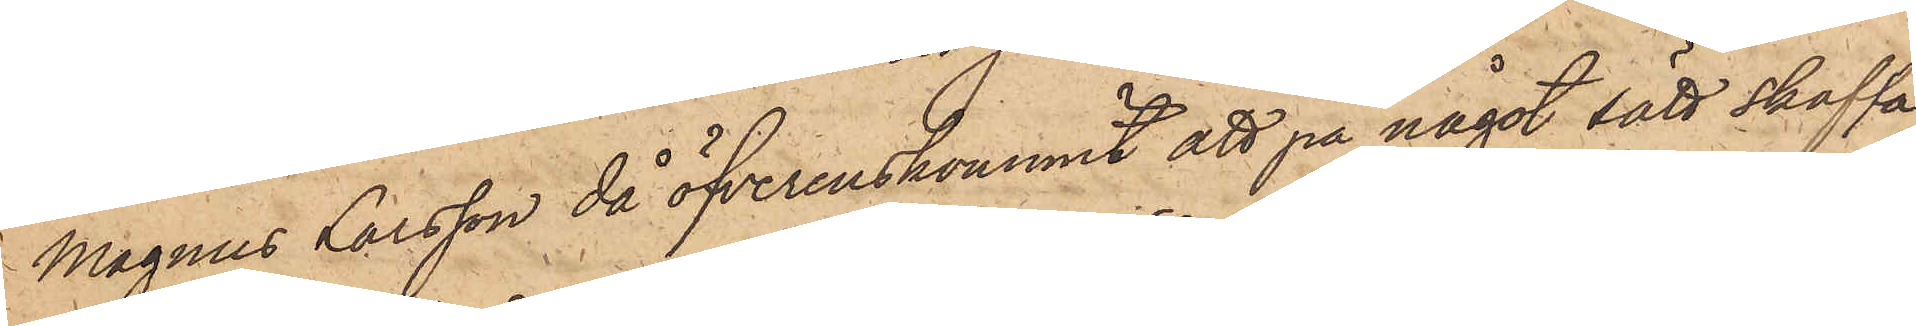Magnus Larsson då öfverenskommit att på något sätt skaffa
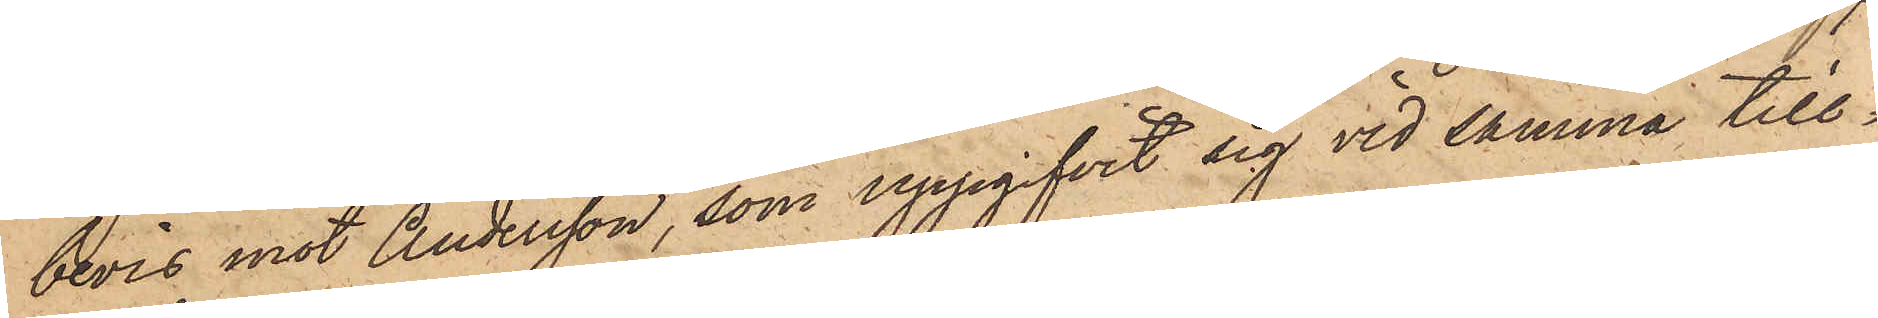bevis mot Andersson, som uppgifvit sig vid samma till¬
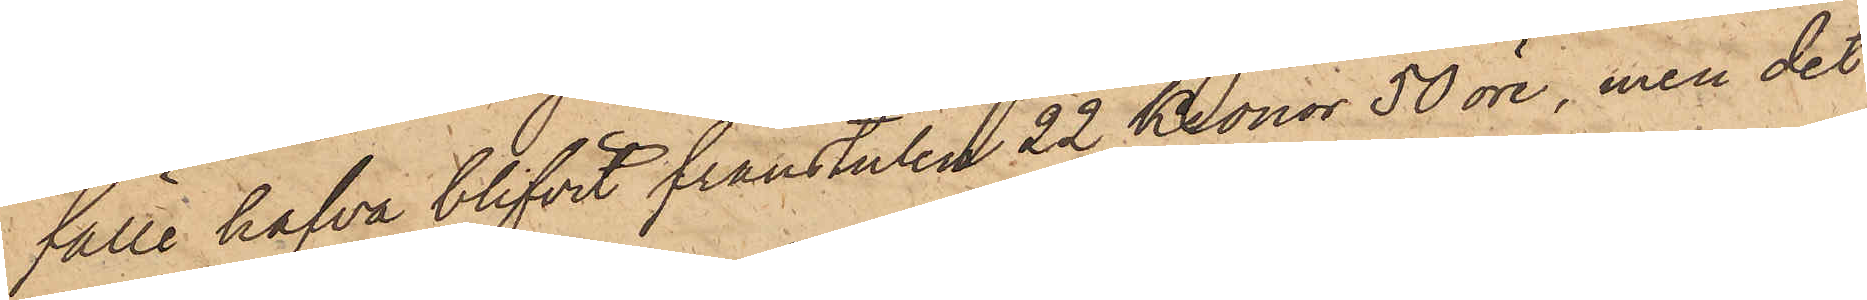fälle hafva blifvit frånstulen 22 Kronor 50 öre, men det
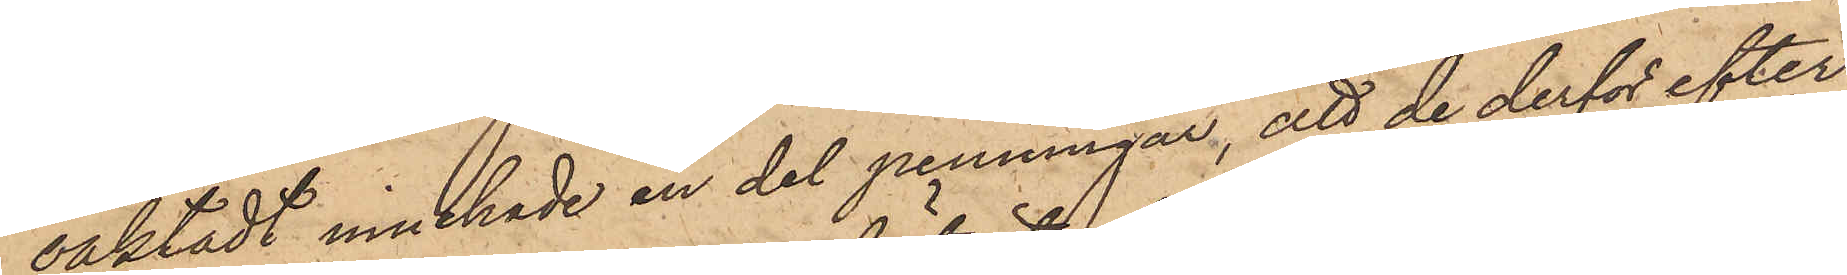oaktadt innehade en del penningar, att de derför efter
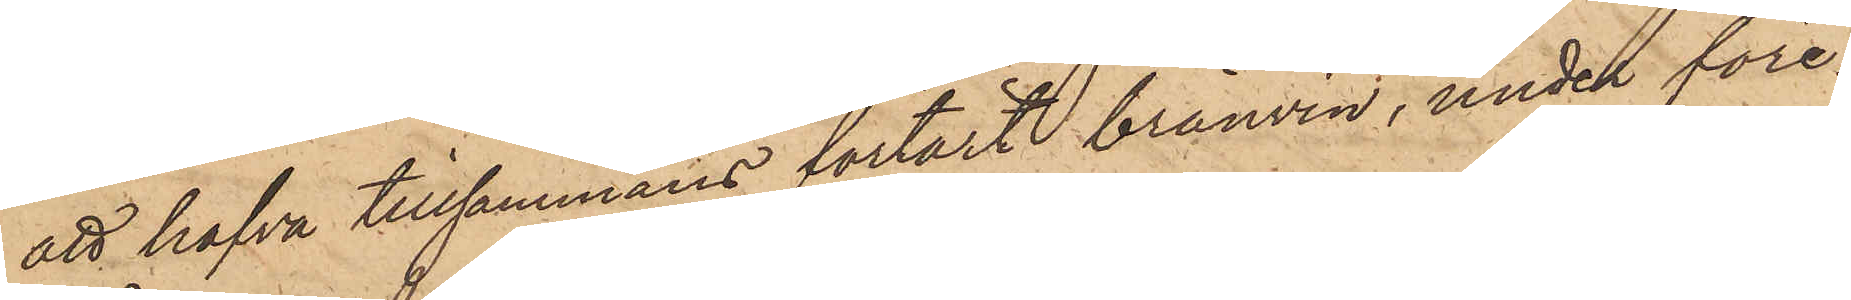att hafva tillsammans förtärt bränvin, under före¬
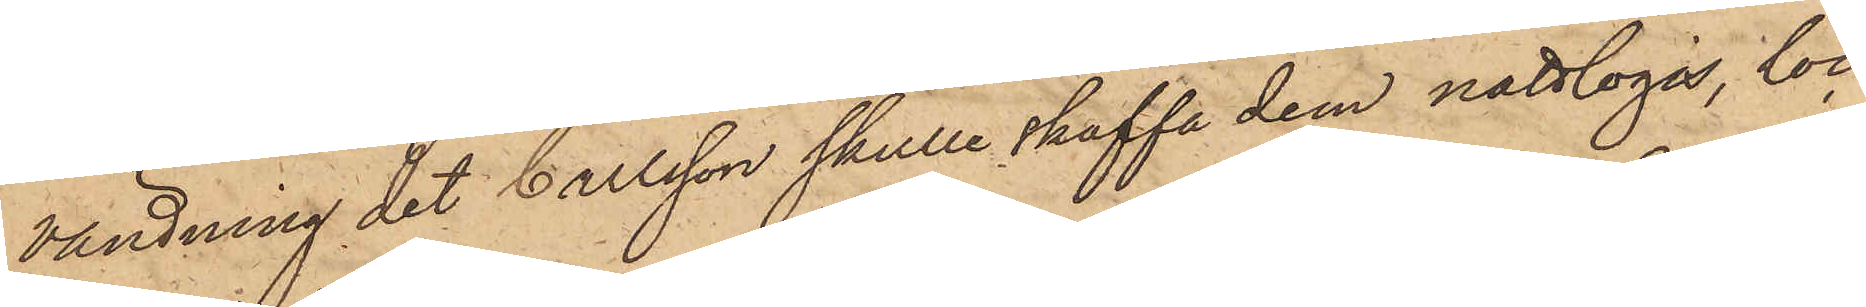vändning det Carlsson skulle skaffa dem nattlogis, loc¬
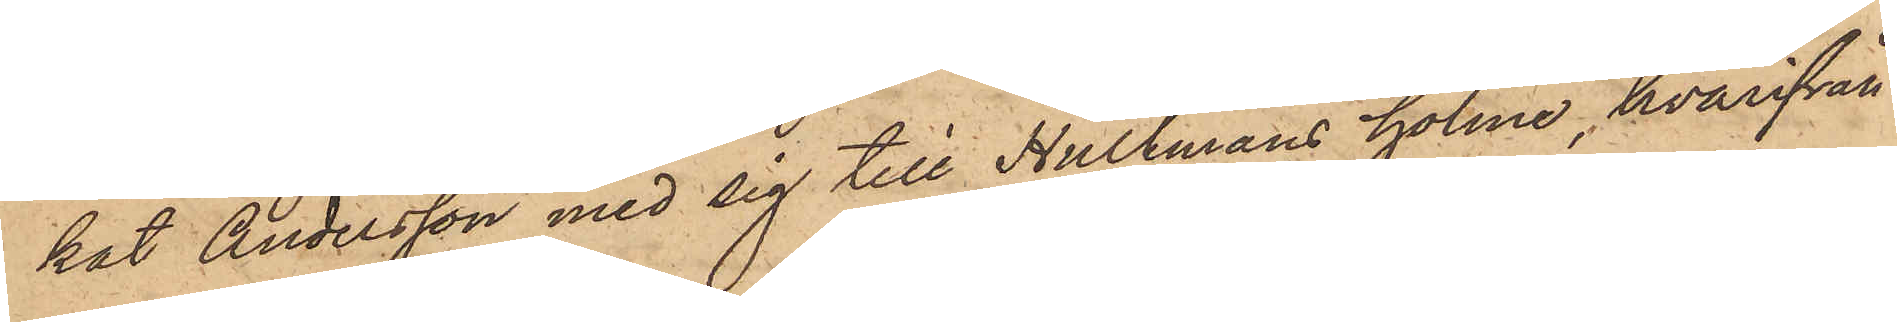kat Andersson med sig till Hultmans holme, hvarifrån
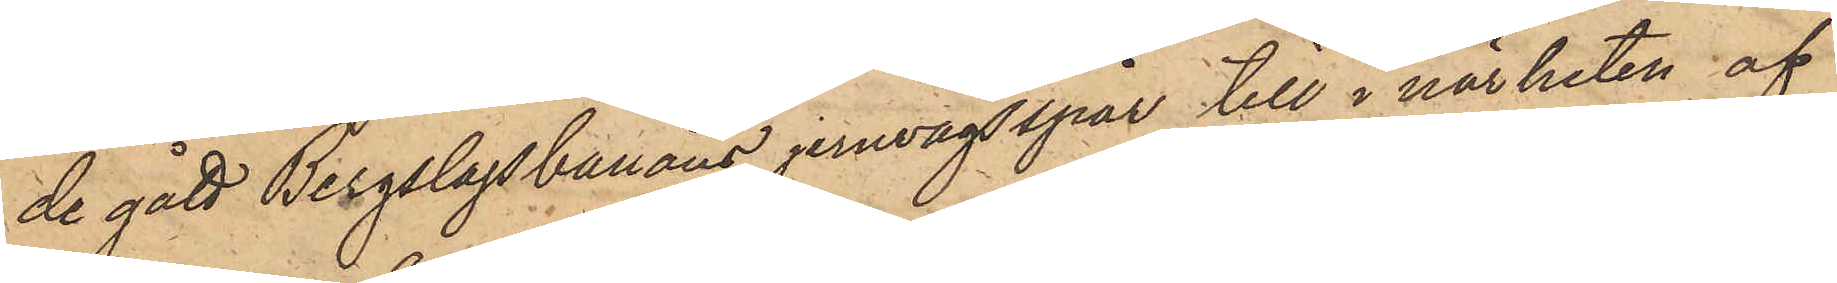de gått Bergslagsbanans jernvägsspår till i närheten af
